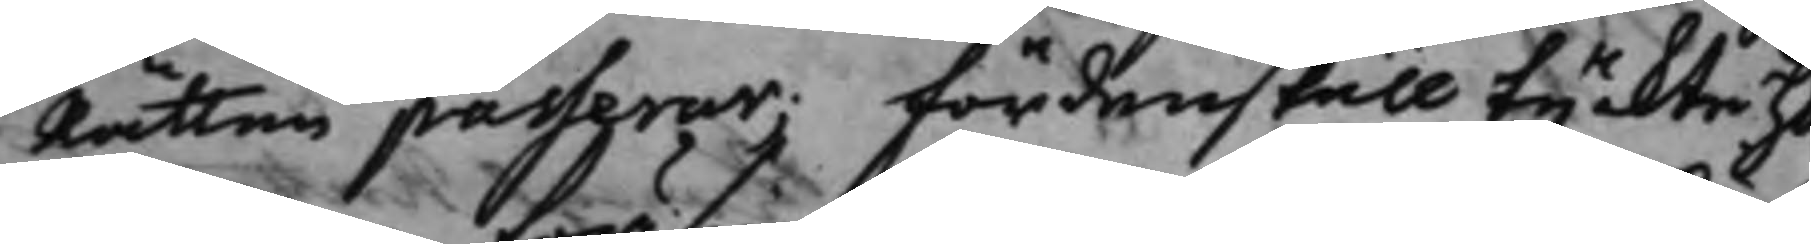Rätten passerar; Fördenskall tyckte H.
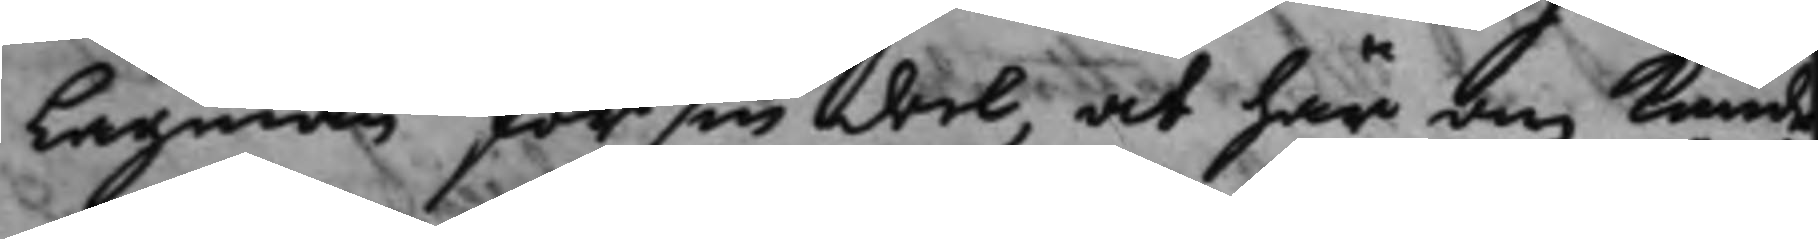Lagman för sin del, at här om kunde
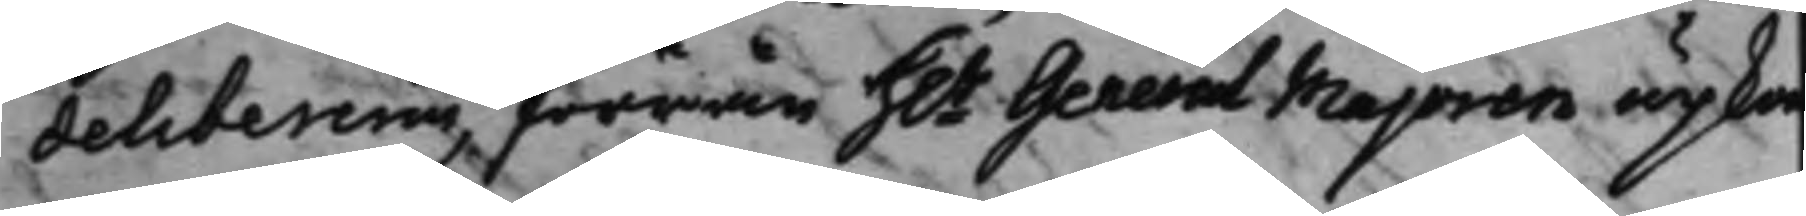deliberas, förrän H.r General Majoren upkom¬
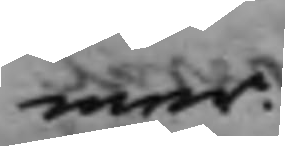mer.
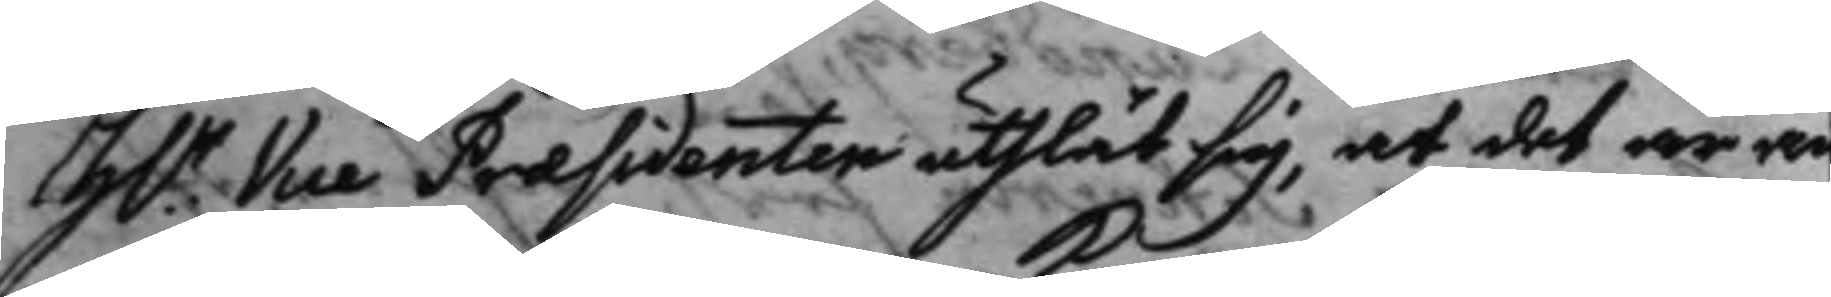H.r Vice Præsidenten uthlät sig, at det är än¬
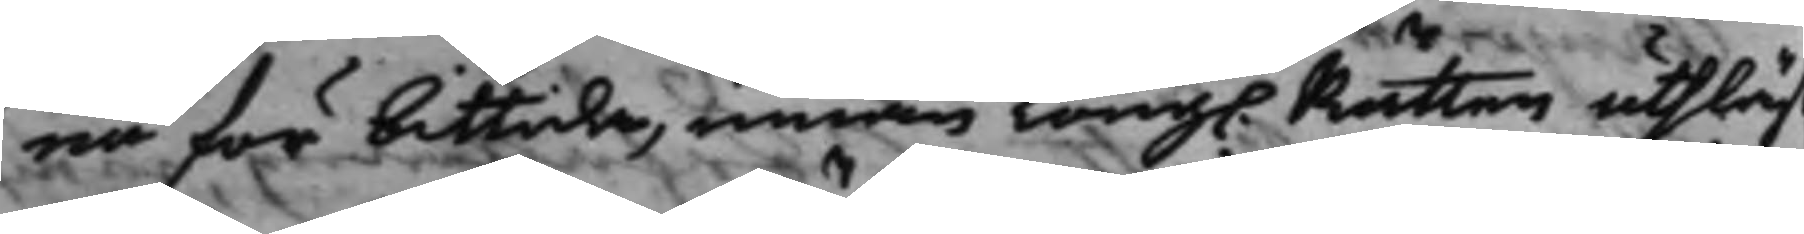nu för bittida, innan Kong. Rätten uthläs
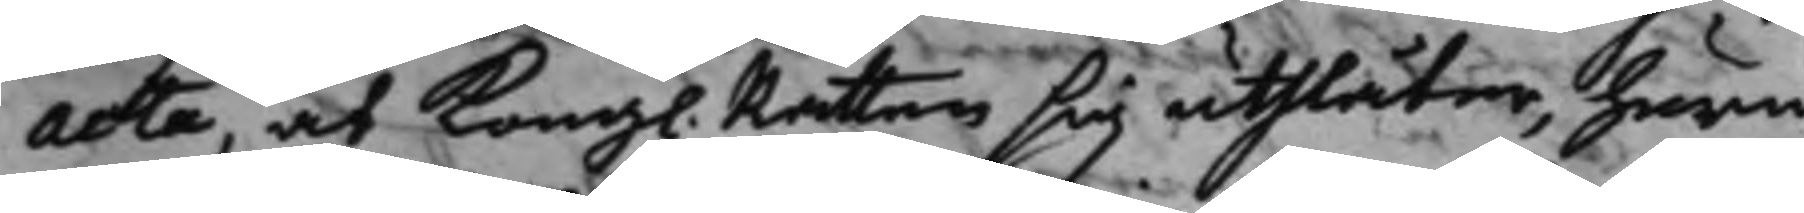acta, at Kongl. Rätten sig uthlåter, huru
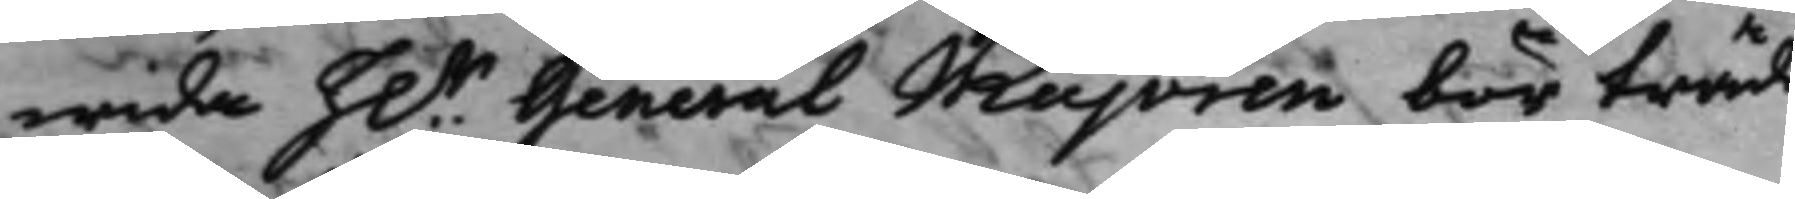wida h.r General Majoren bör träda
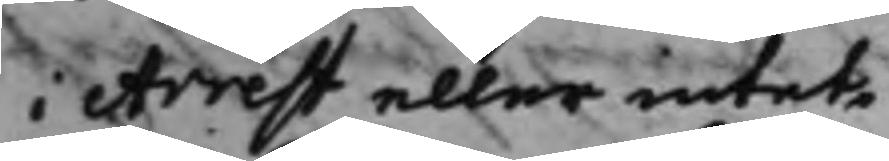i Arrest eller intet,
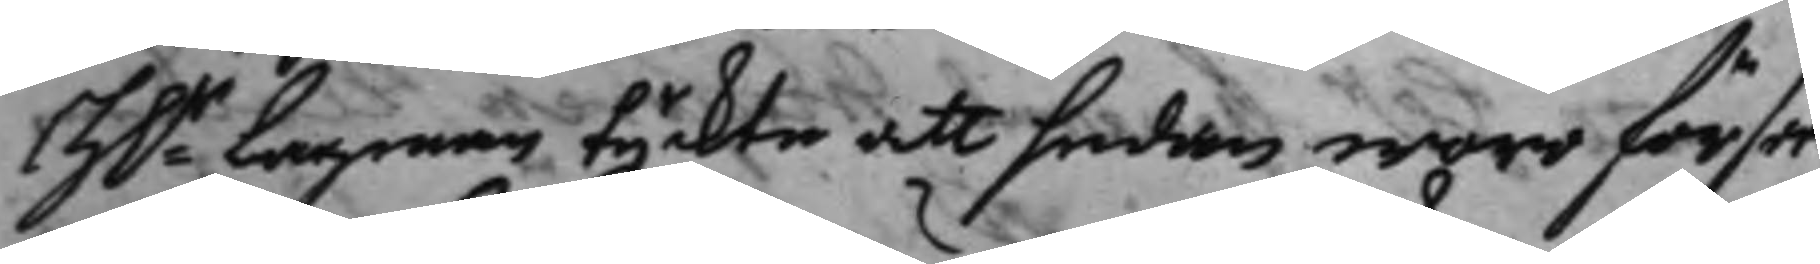H.r Lagman tyckte att sedan woro för sen
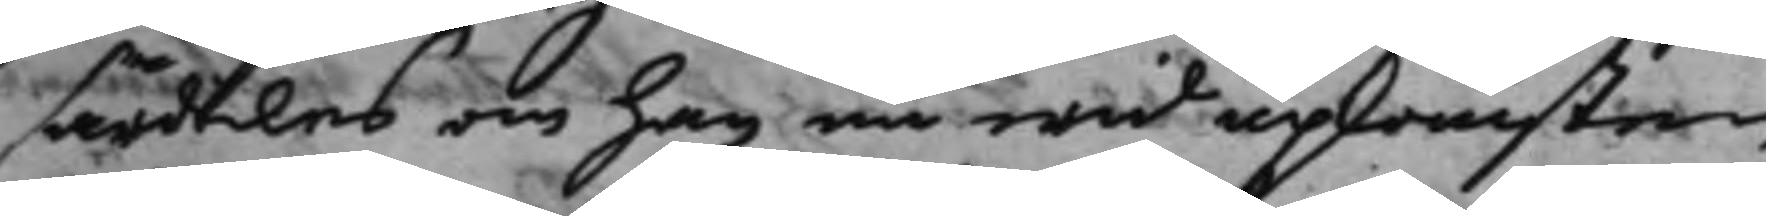särdeles om han nu wid upkomsten
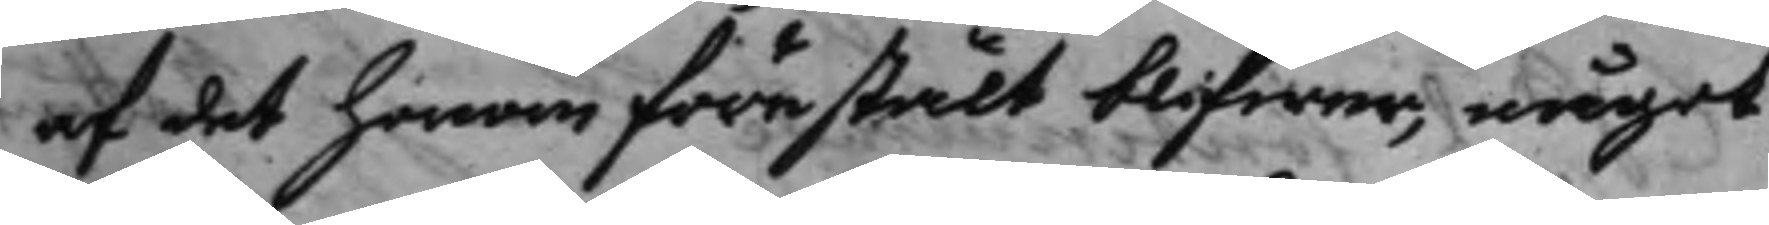af det honom förestält blifwer, något
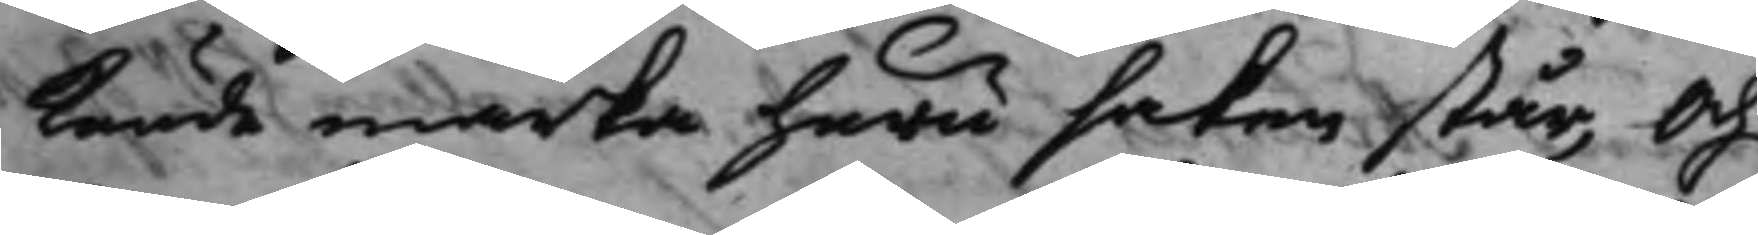kunde märka huru saken står, och
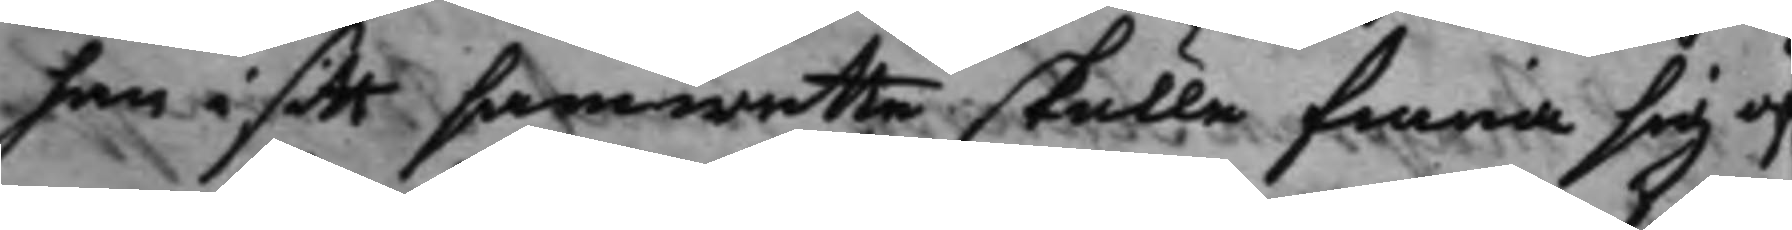han i sammwethe skulle finna sig öf¬
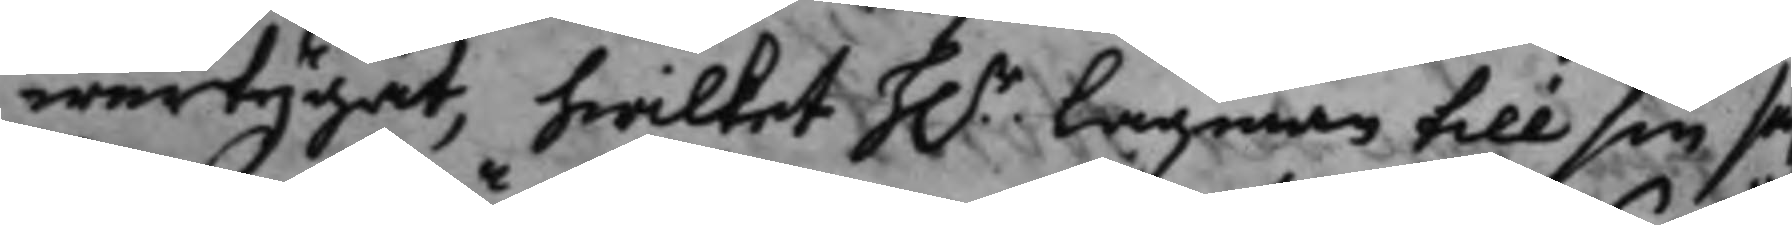wertygat, hwilket h.r Lagman till sin sä¬
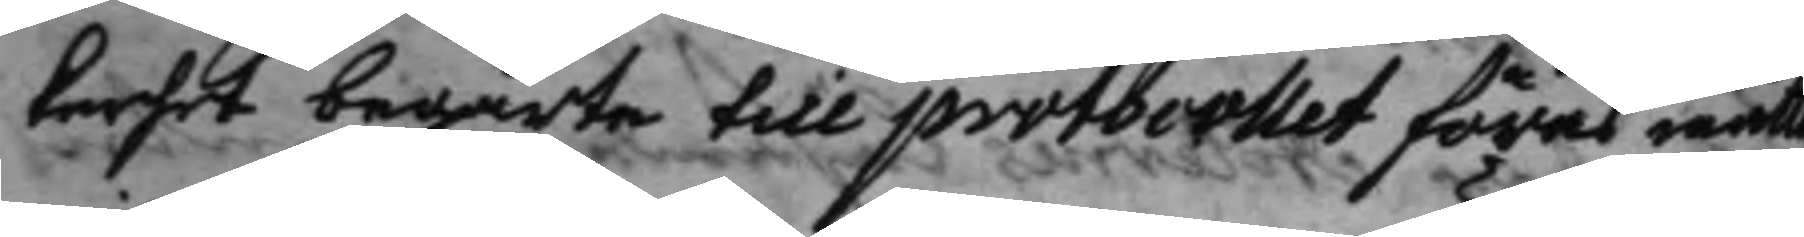kerhet begärte till protocollet föras måtte
